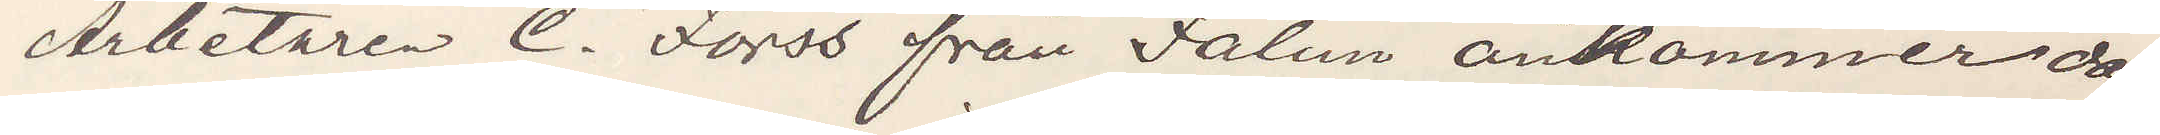Arbetaren C. Forss från Falun ankommer dag
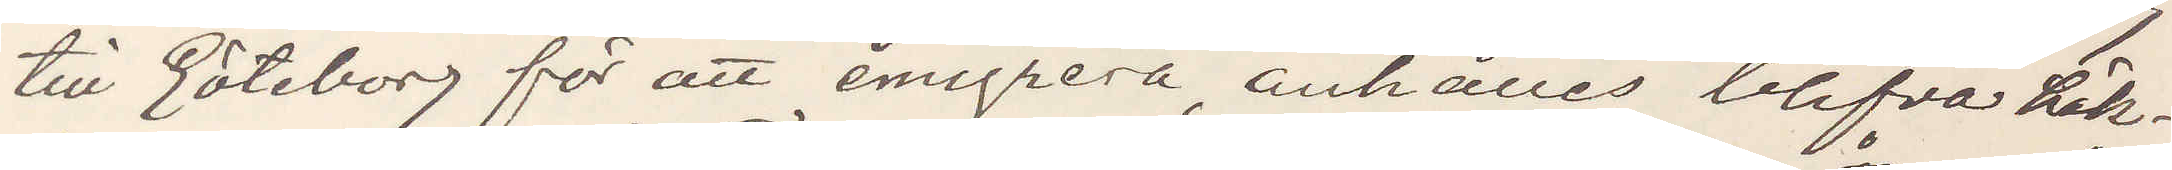till Göteborg för att emigrera, anhålles blifva häk¬
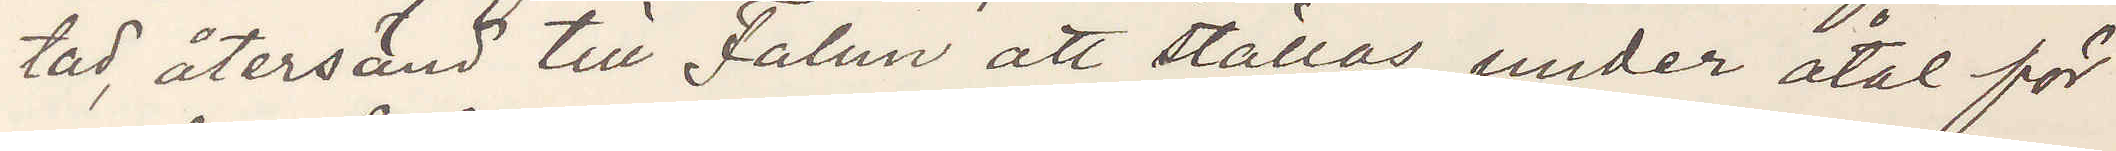tad, återsänd till Falun att ställas under åtal för
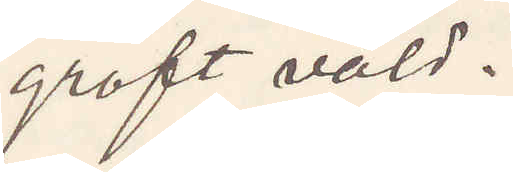groft våld.
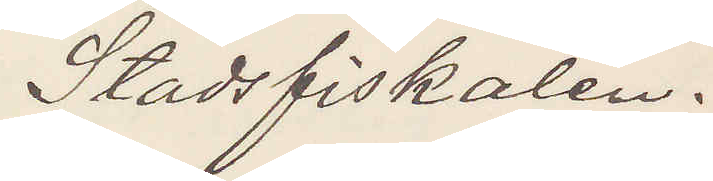Stadsfiskalen.
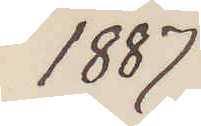1887
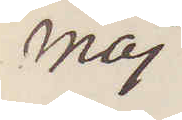Maj
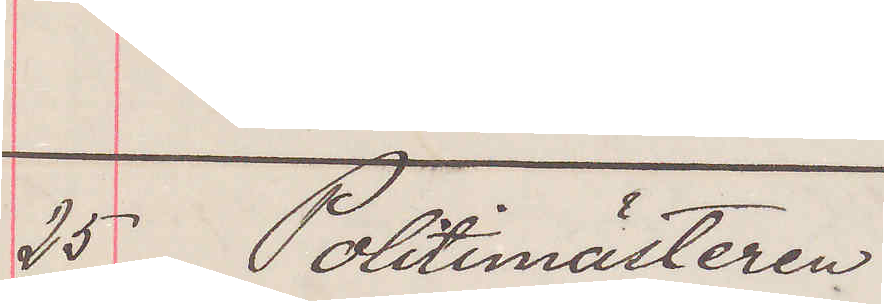25 Politimästeren
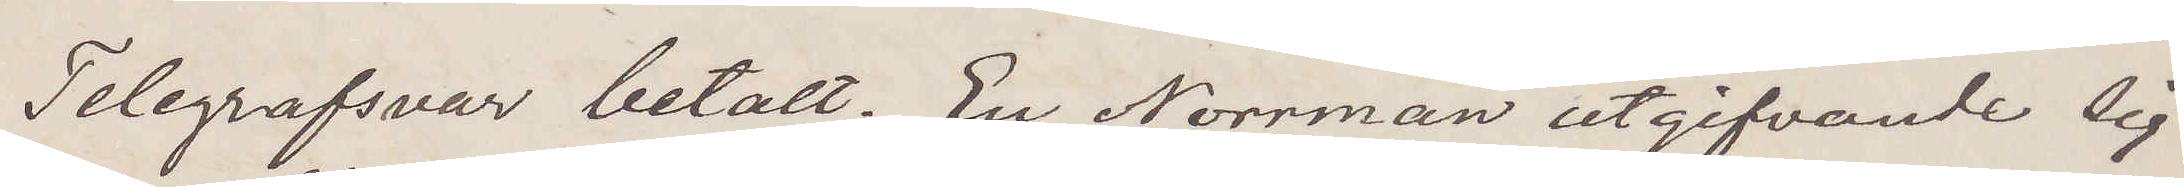Telegrafsvar betalt. En Norrman utgifvande sig
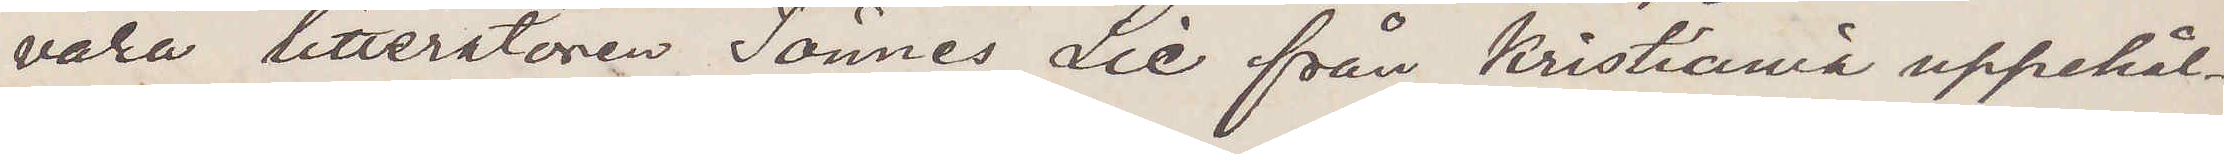vara litteratören Tönnes Lie från Kristiania uppehål¬
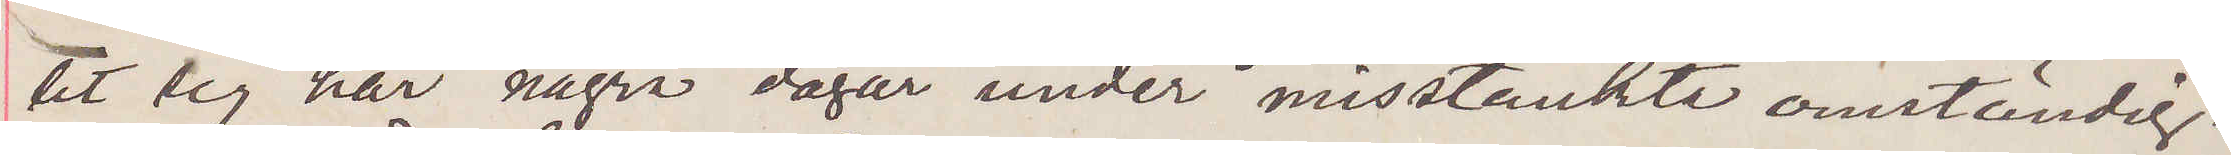tit sig här några dagar under misstänkte omständig¬
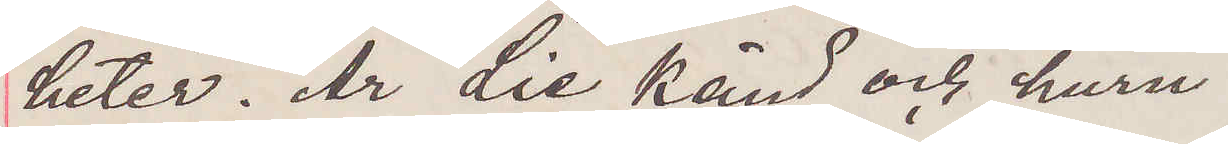heter. Är Lie känd och huru?
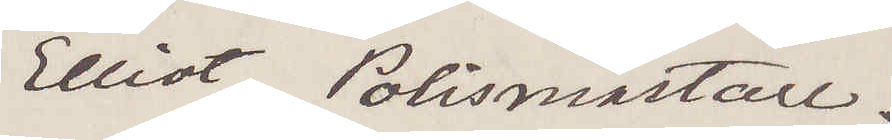Elliot. Polismästare.
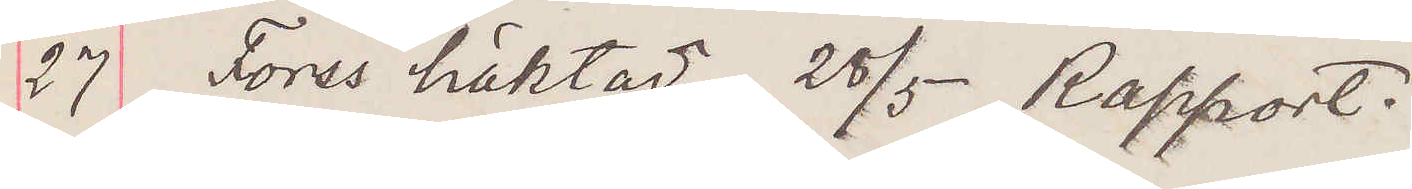27 Forss häktad; 28/5 Rapport.
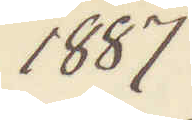1887
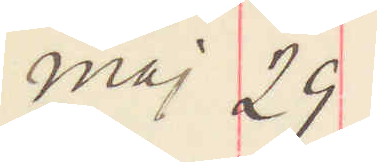maj 29
